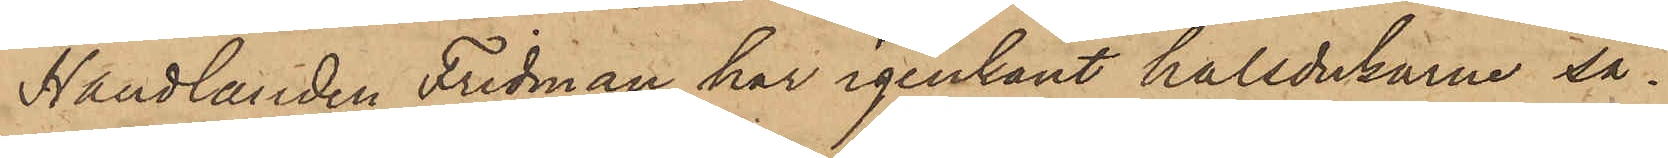Handlanden Fridman har igenkänt halsdukarne så¬
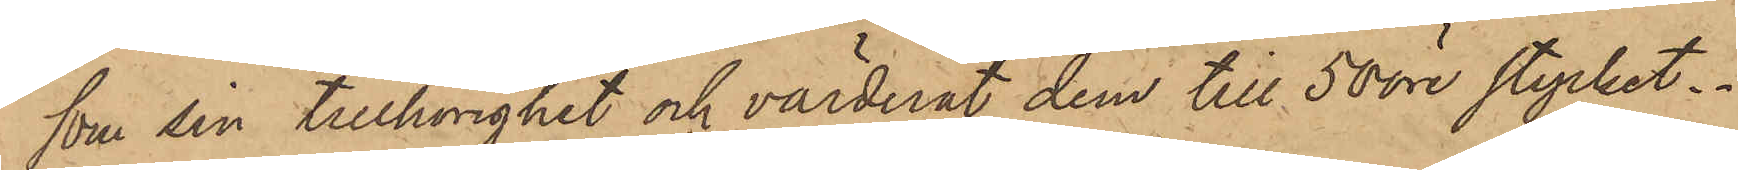som sin tillhörighet och värderat dem till 50 öre stycket.
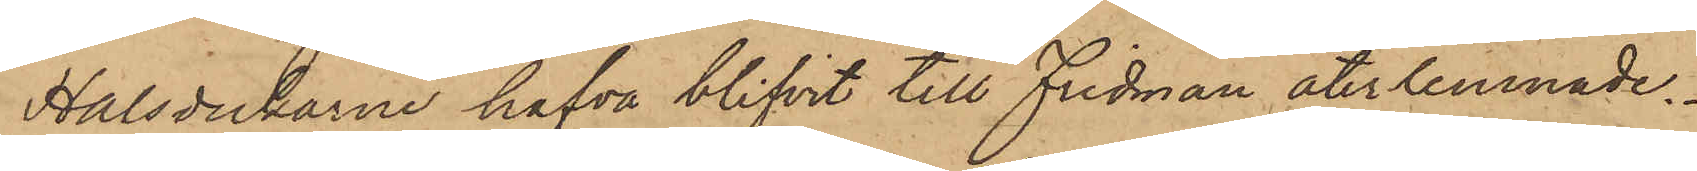Halsdukarne hafva blifvit till Fridman återlemnade.
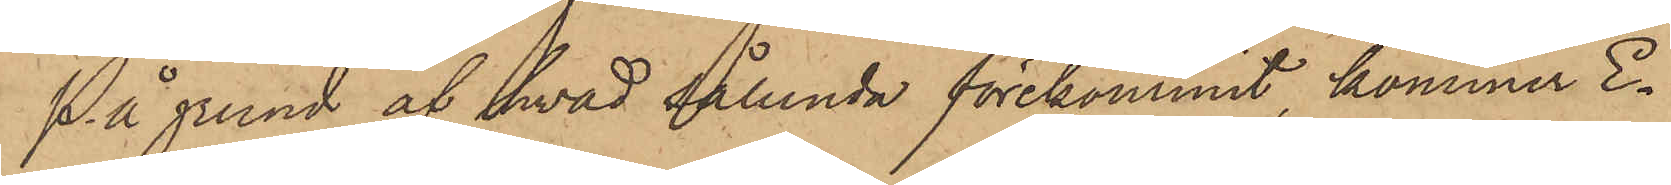På grund af hvad sålunda förekommit, kommer E¬
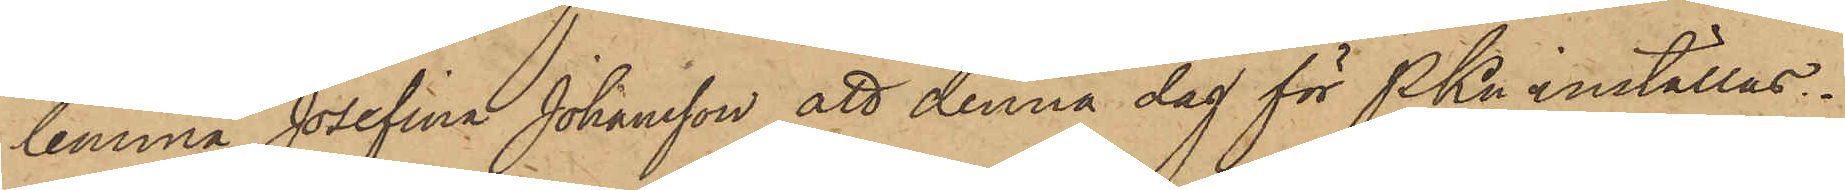lemina Josefina Johansson att denna dag för PKn inställas.
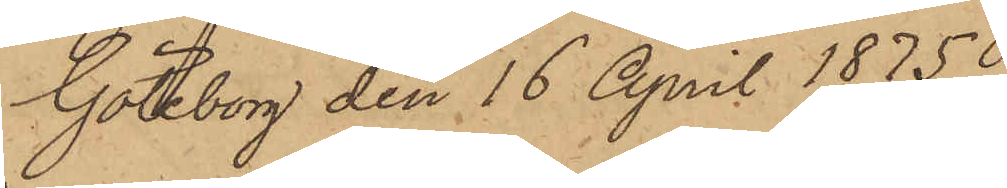Göteborg den 16 April 1875.
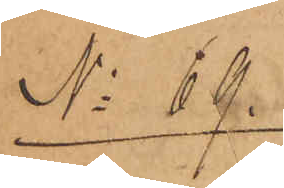No 69.
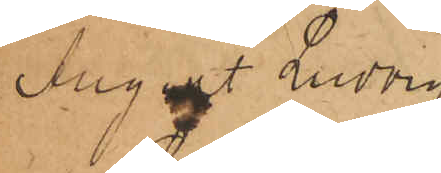August Ludvig
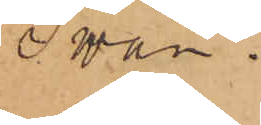Swan.
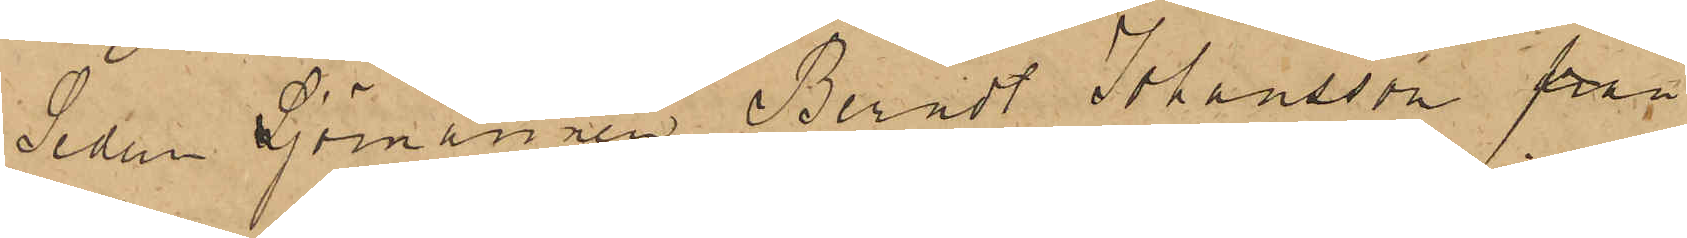Sedan Sjömannen Berndt Johansson från
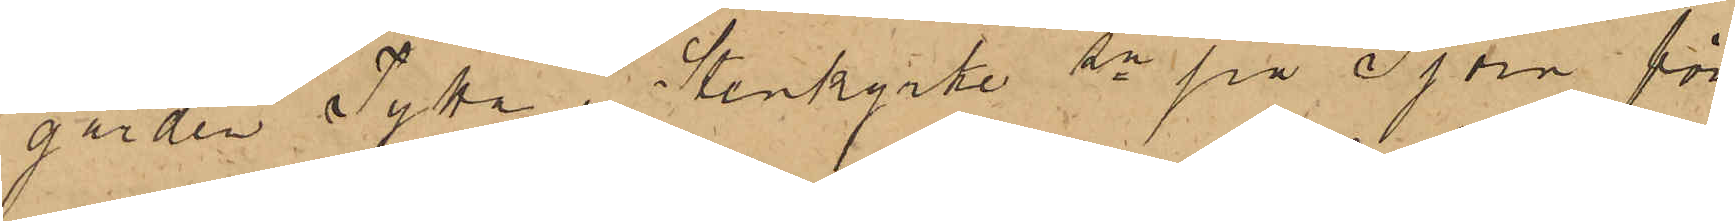gården Tytta i Stenkyrke sn på Tjörn för
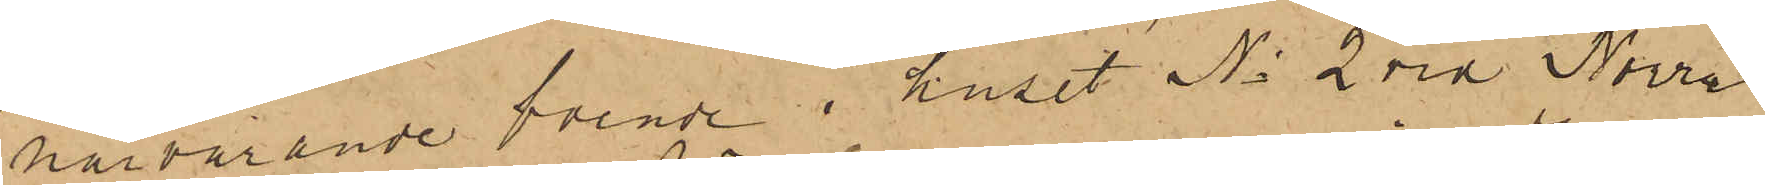närvarande boende i huset No 2 vid Norra
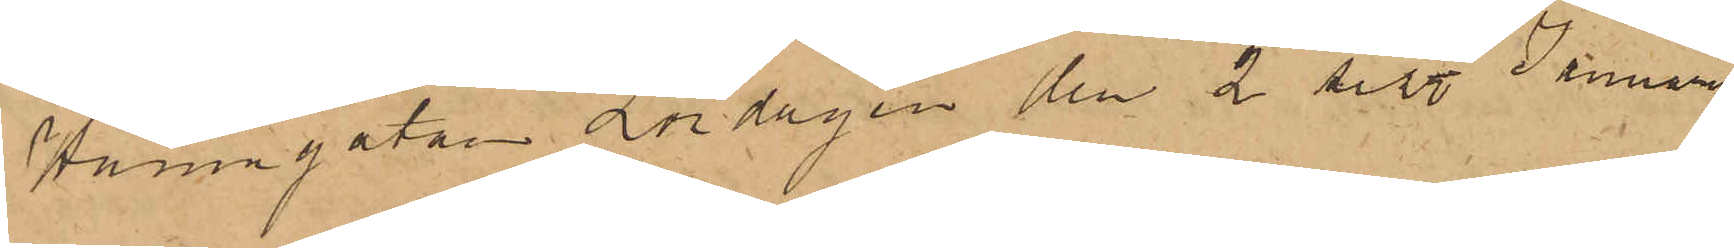Hamngatan Lördagen den 2 sist. Januari
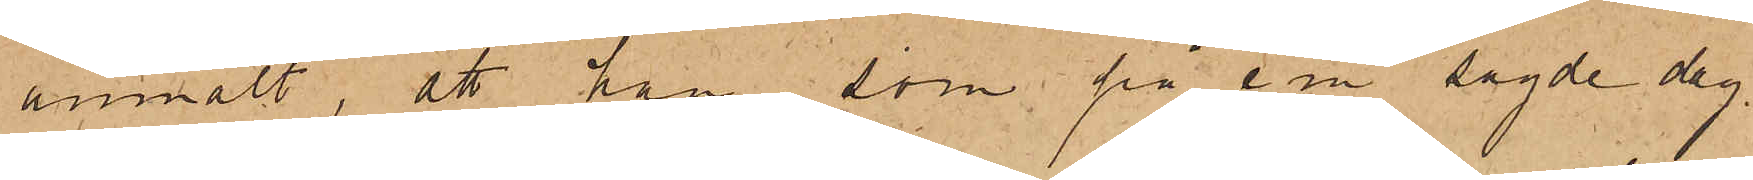anmält, att han, som på e m sagde dag
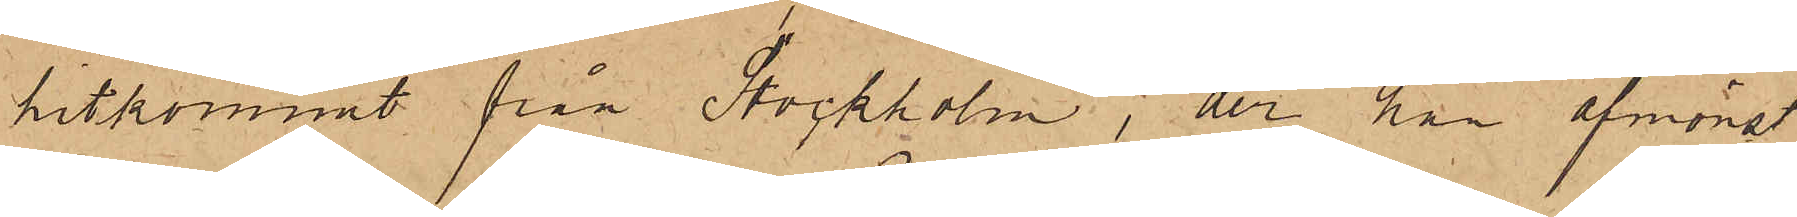hitkommit från Stockholm, der han afmönst¬
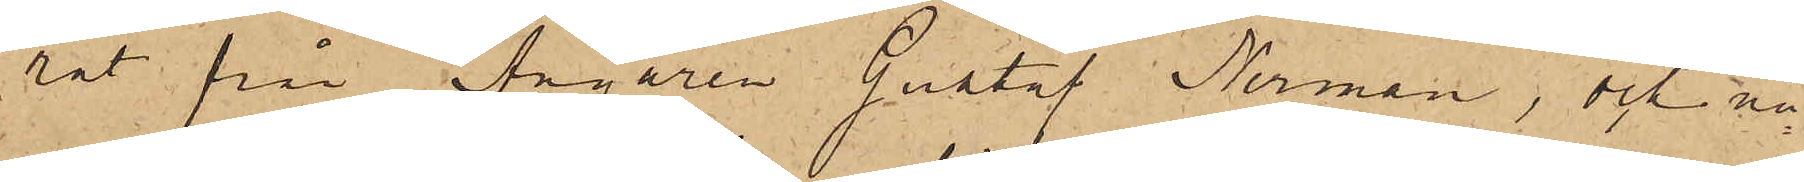rat från Ångaren Gustaf Nerman, och nå¬
